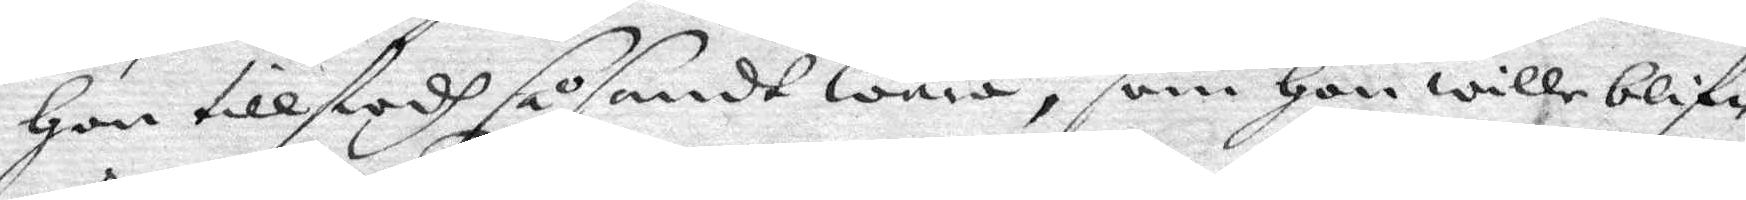Hon tillstodh så sandt wara, som Hon wille blif¬
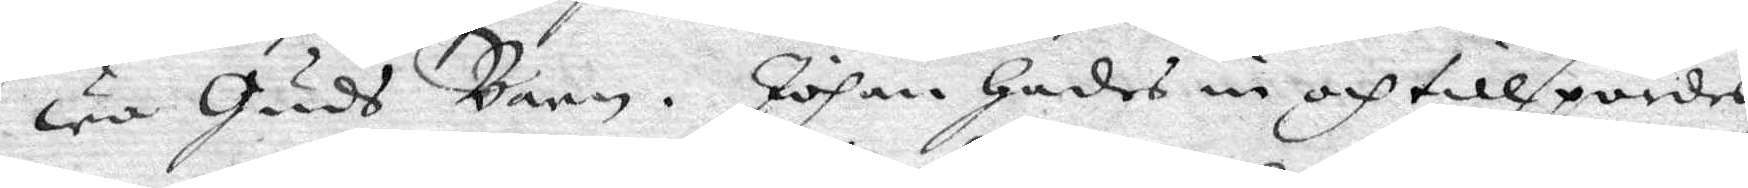wa Guds Barn. Johan hades in och tillspordes
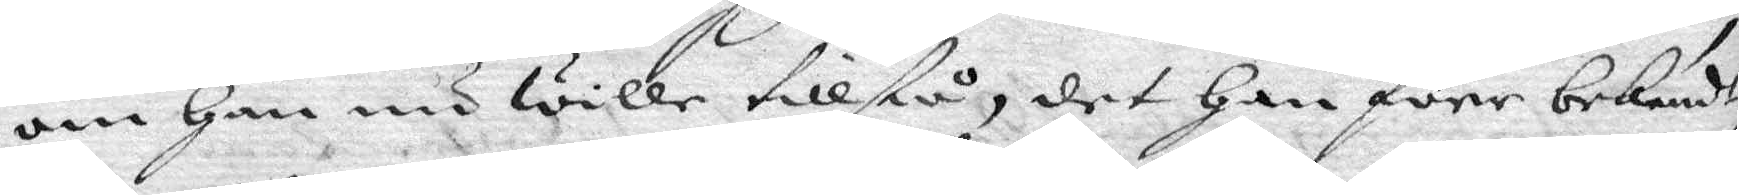om Han nu wille tillstå, det Han före bekendt,
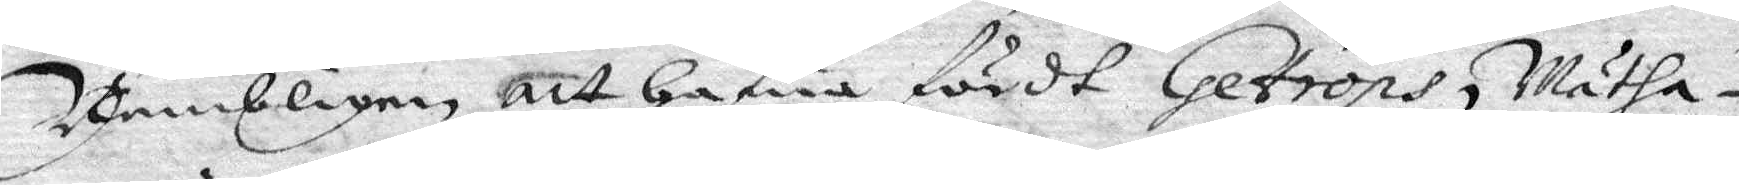Nembligen, att Hafwa fördt Getrops, Mätha¬
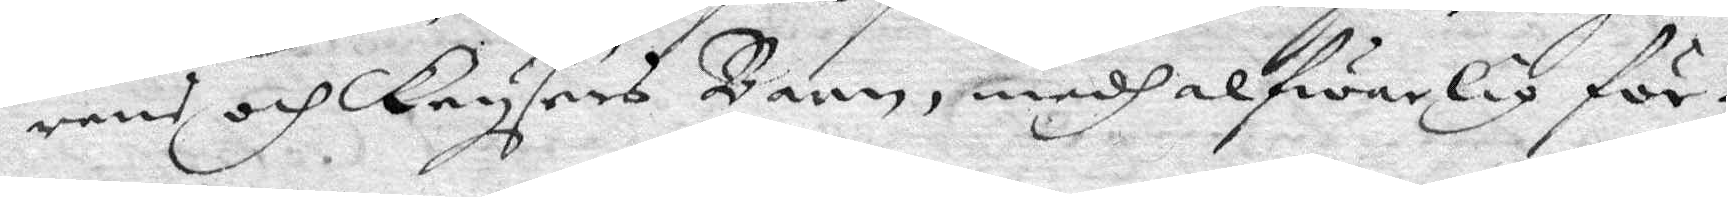rens och Krysers Barn, medh alfwarlig för¬
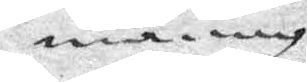maning
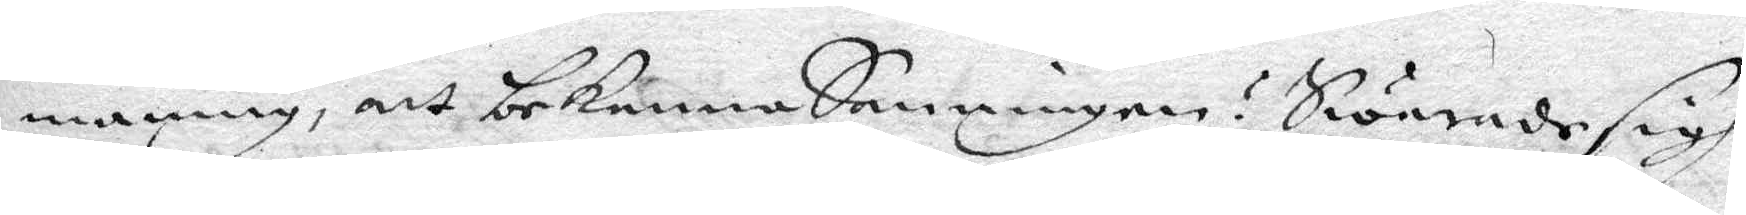maning. att bekenna Sanningen? Swarade sigh
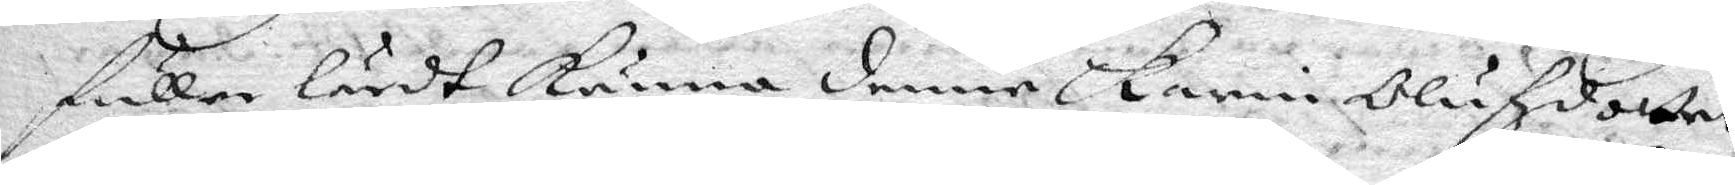fuller lärdt känna denna Karin Olufzdotter
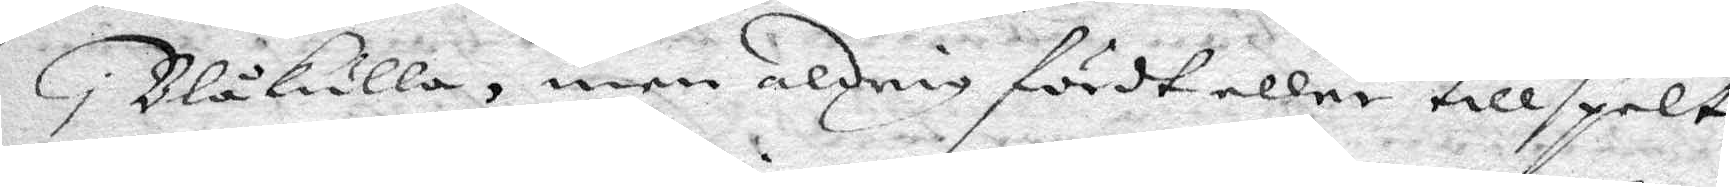i Blåkulla, men aldrig fördt eller tillspelt
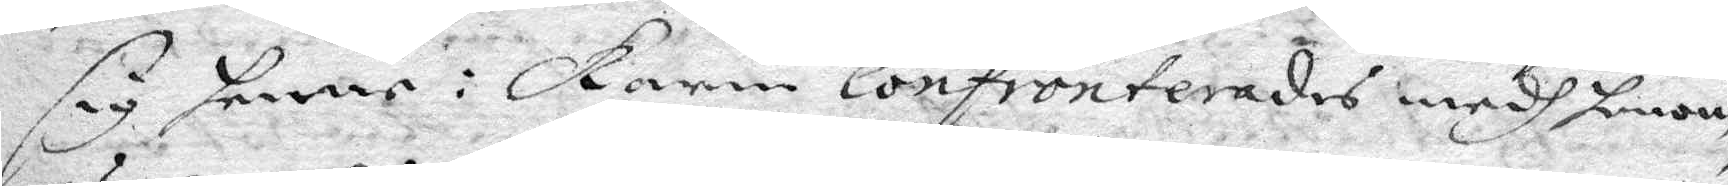sig henne: Karin confronterades medh honom,
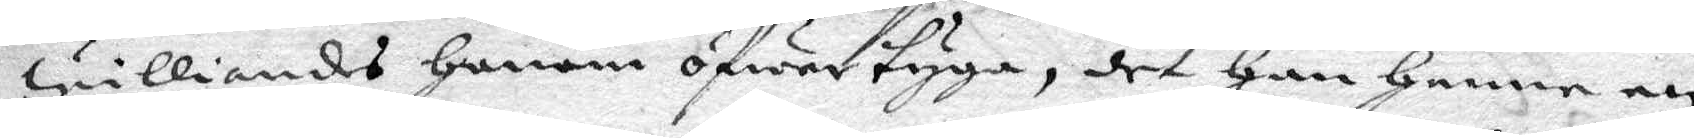williandes Honom öfwetyga, det Han Henne en
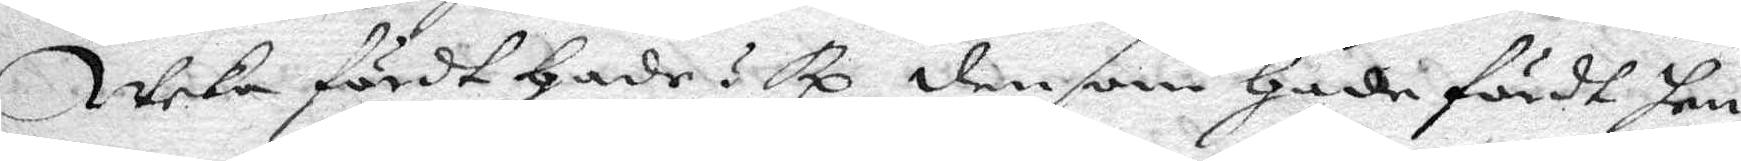weka fördt Hade? Rp. den som hade fördt hen¬
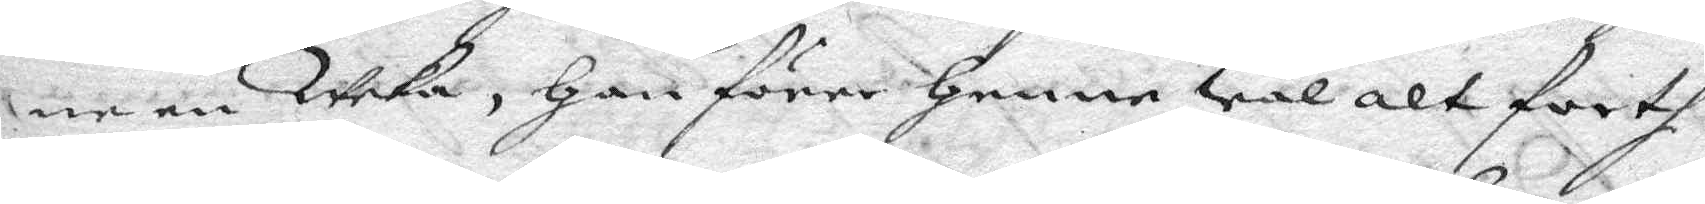ne en Waka, Han förre henne Wäl alt fortf.
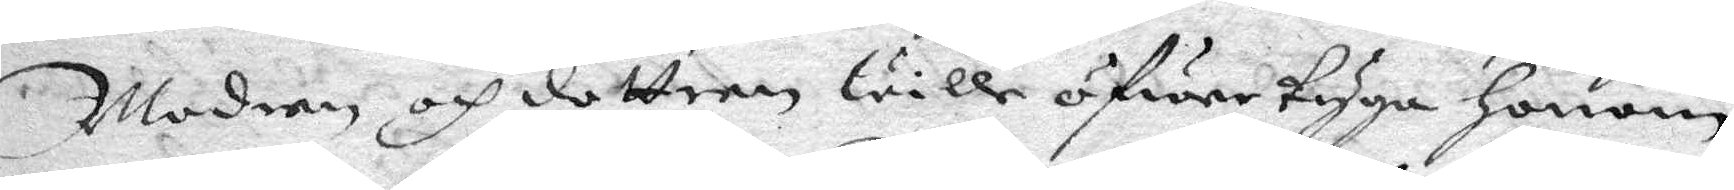Modren och dottern wille öfwertyga Honom,
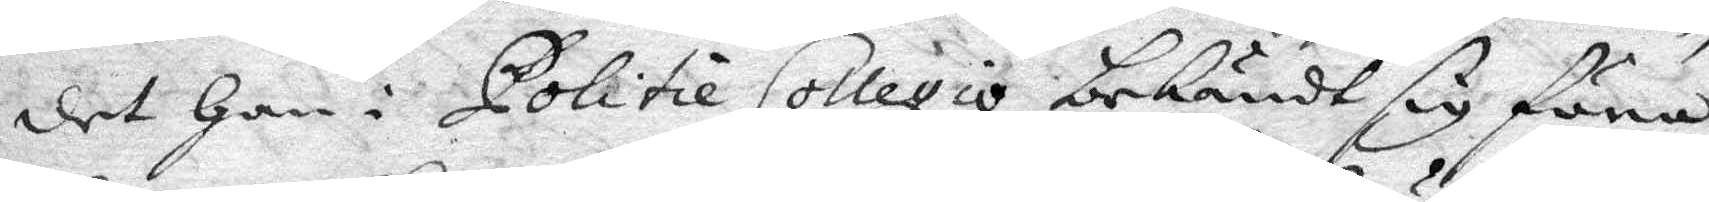det Han i Politie Collegio bekändt sig föra
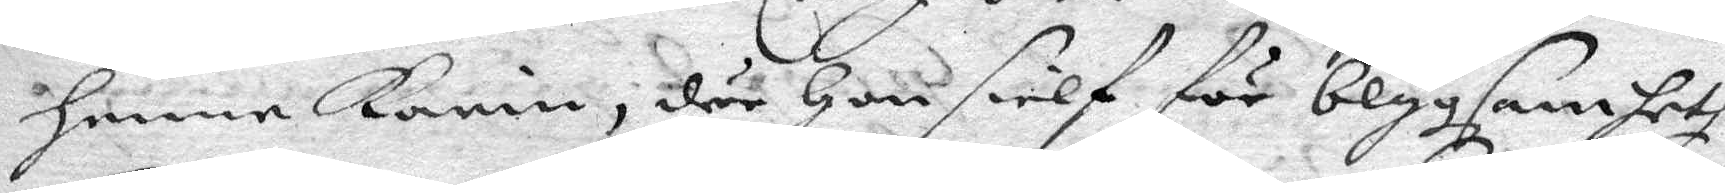henne Karin, där Hon sielf för blygsamheth
